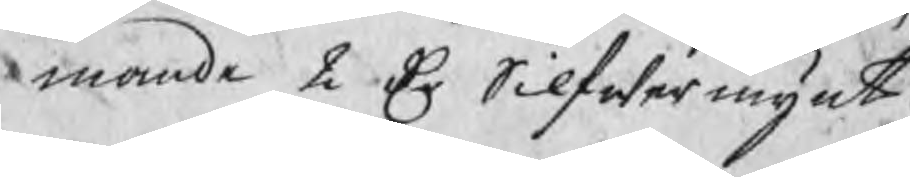mande 2 Dr Silfwermynt.
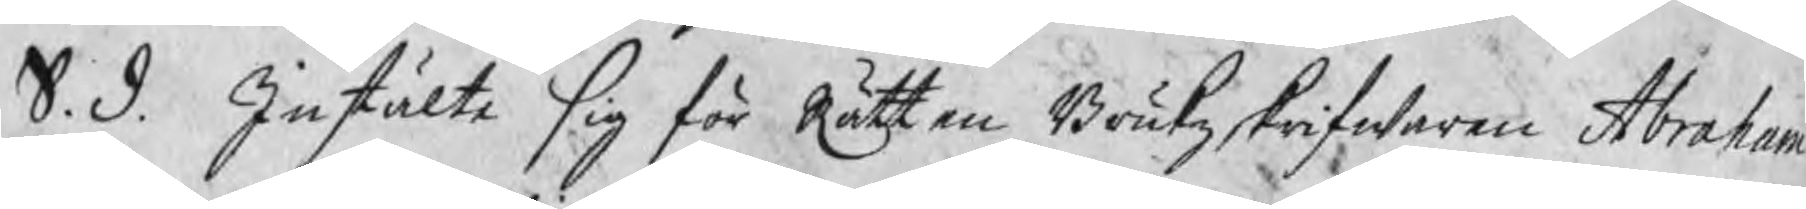S. d. Instälte sig för Rätten Brukzskrifwaren Abraham
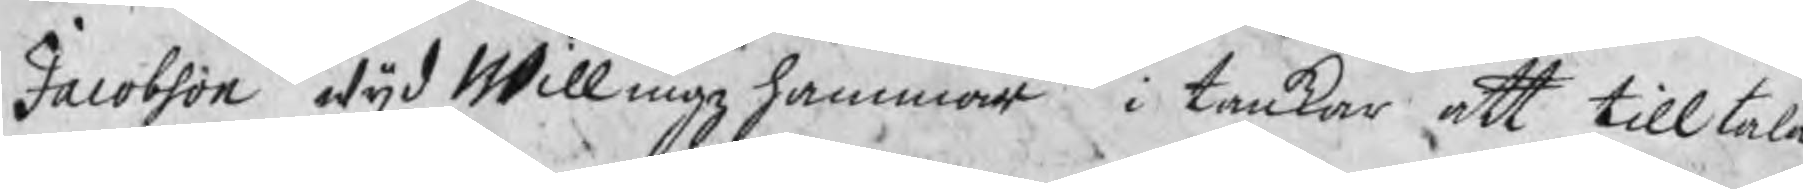Jacobson wijd Willingzhammar i tankar att tilltala
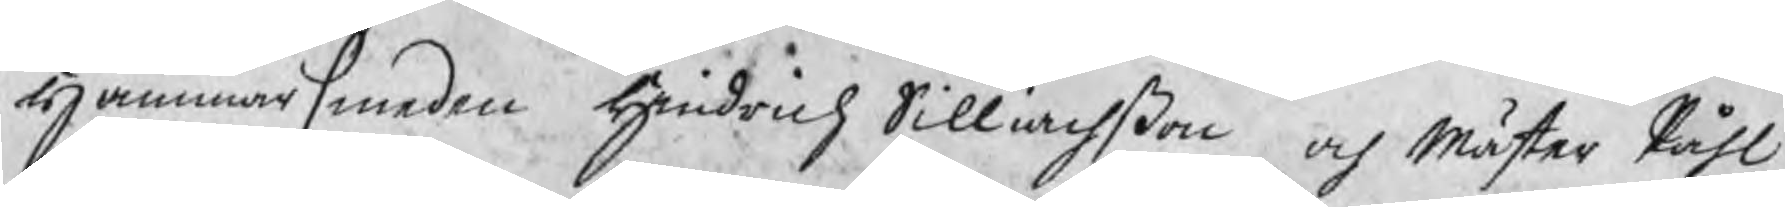Hammarsmeden Hindrich Silliachßon och Mäster Påhl
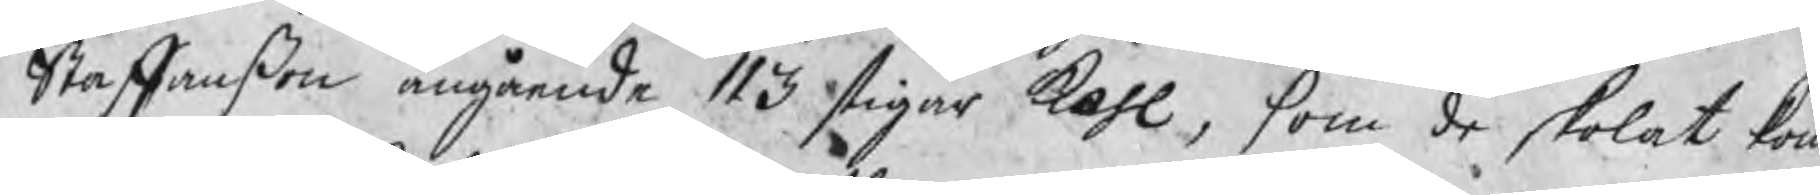Staffanßon angående 113 stigar kohl, som de skolat kom
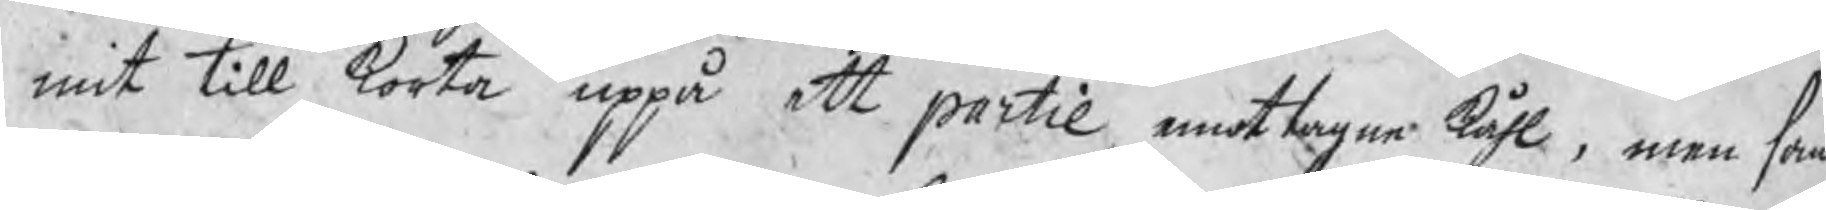mit till korta uppå ett partie emottagne kåhl, men som
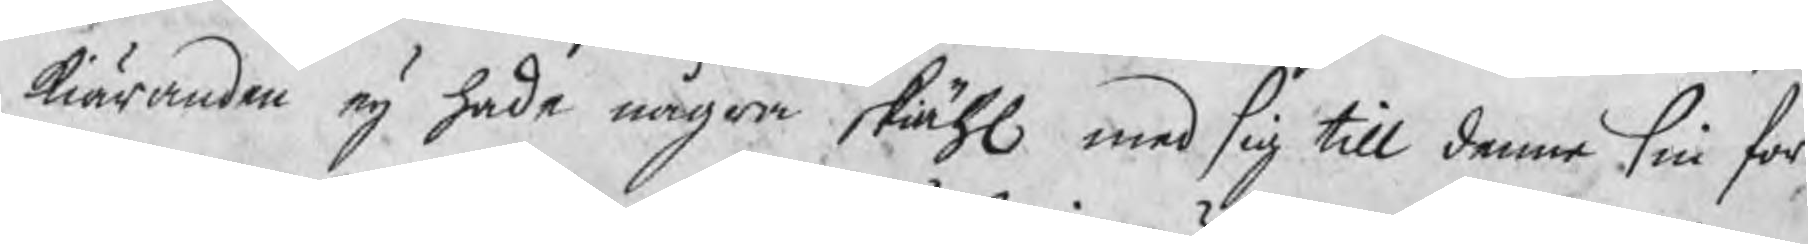kiäranden eij hade några skiähl med sig till denne sin for¬
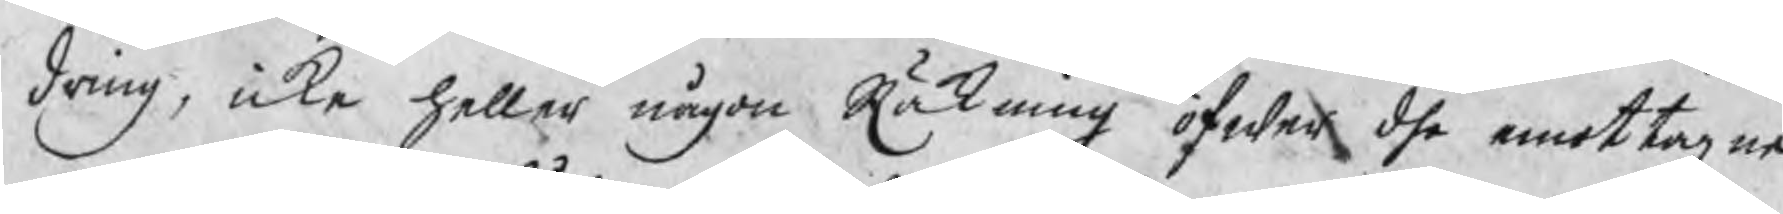dring, icke heller någon Räkning öfwer dhe emottagne
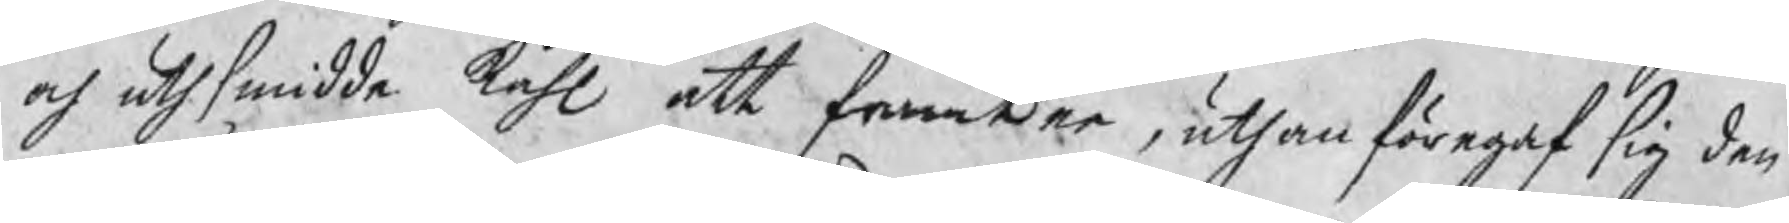och uthsmidde kåhl att framter, uthan föregaf sig den
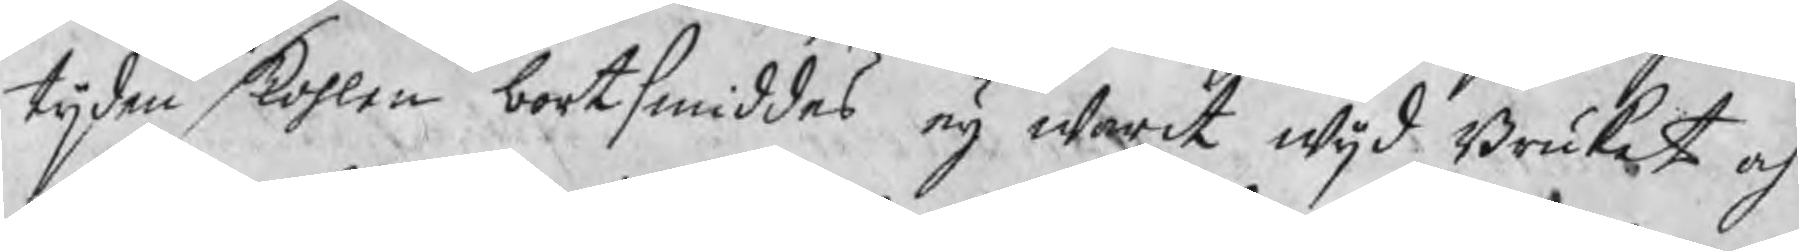tijden kohlen bortsmiddes eij warit wijd Bruket, och
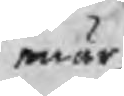enär
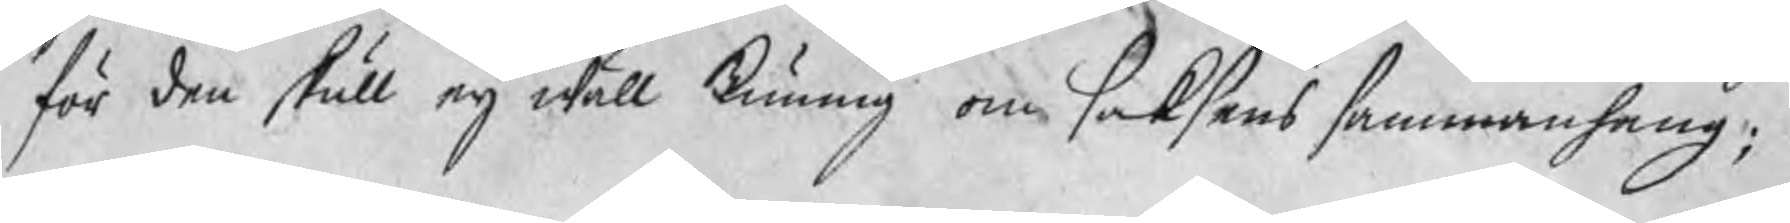för den skull eij wäll kunnig om saksens sammanhang;
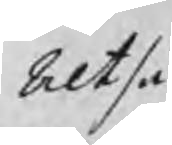Altså
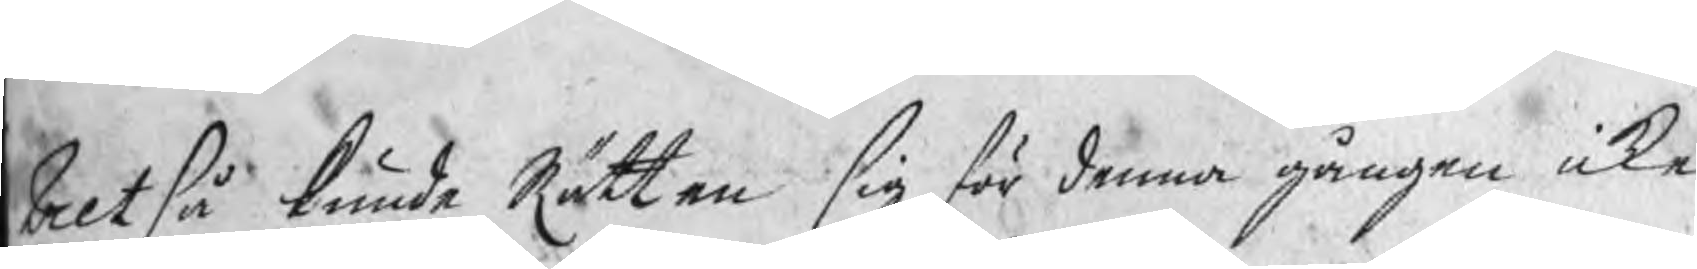Altså kunde Rätten sig för denna gången icke
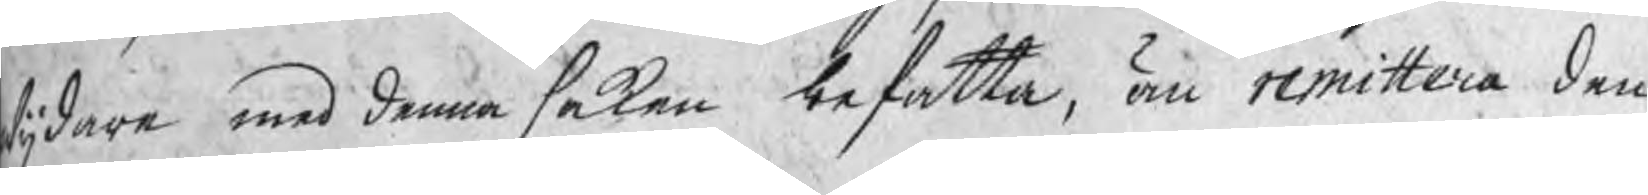wijdare med denna saken befatta, än remittera den
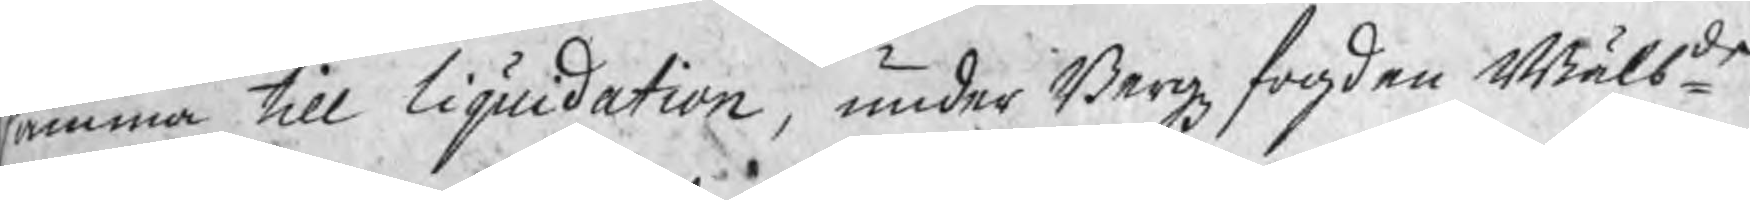samma till liquidation, under Bergzfogden Wälbde
